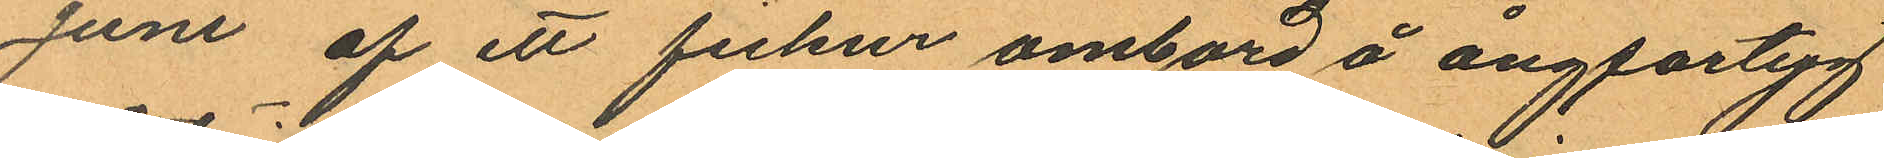Juni af ett fickur ombord å ångfartyg
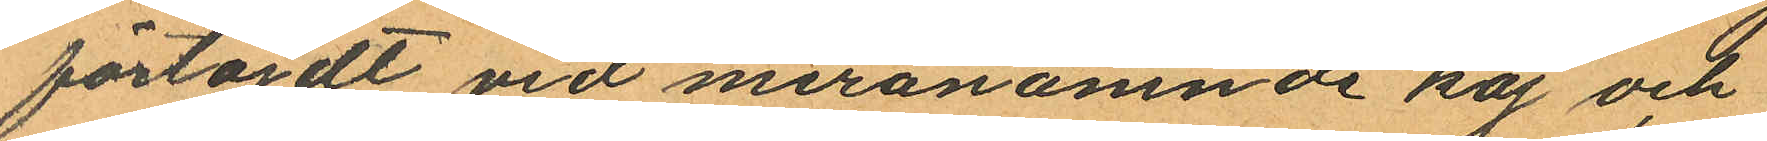förtöjdt vid meranämnde kaj och
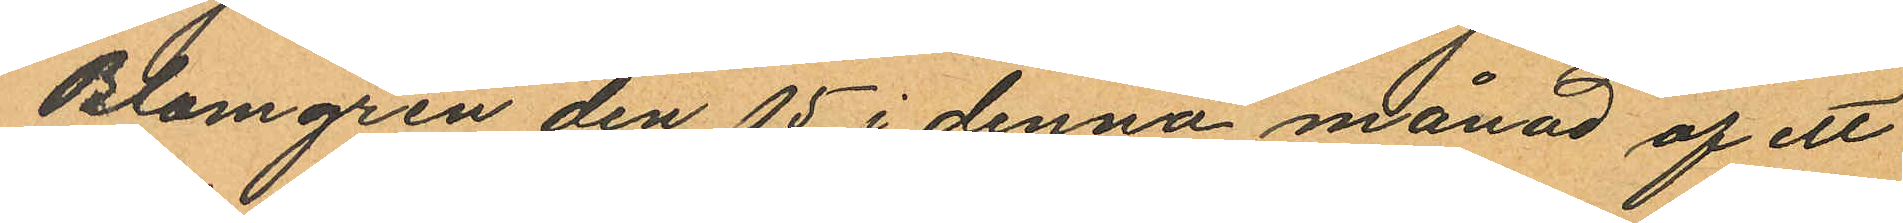Blomgren den 15 i denna månad af ett
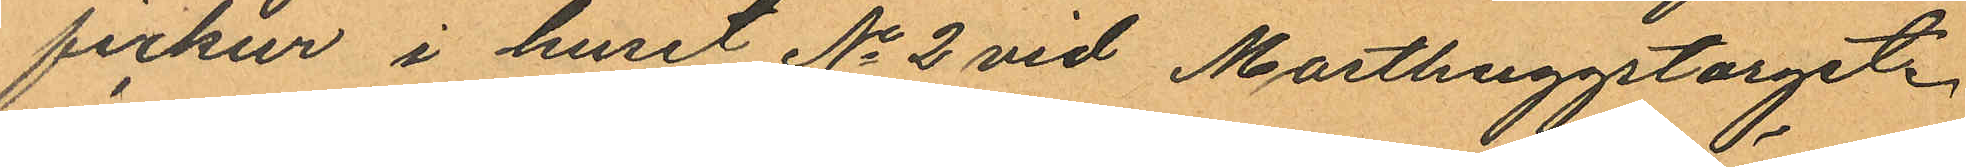fickur i huset No 2 vid Masthuggstorget.
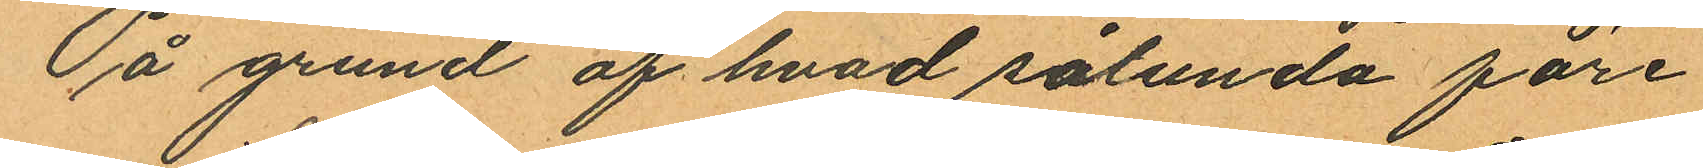På grund af hvad sålunda före
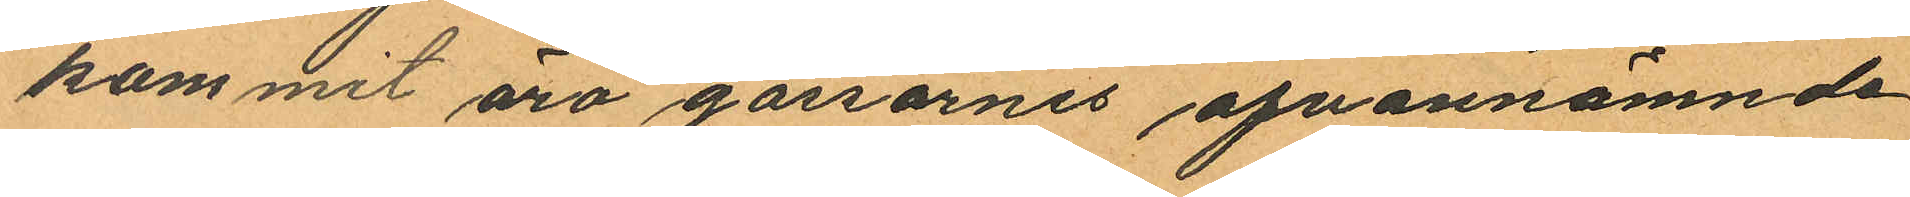kommit äro gossarnes ofvannämnde
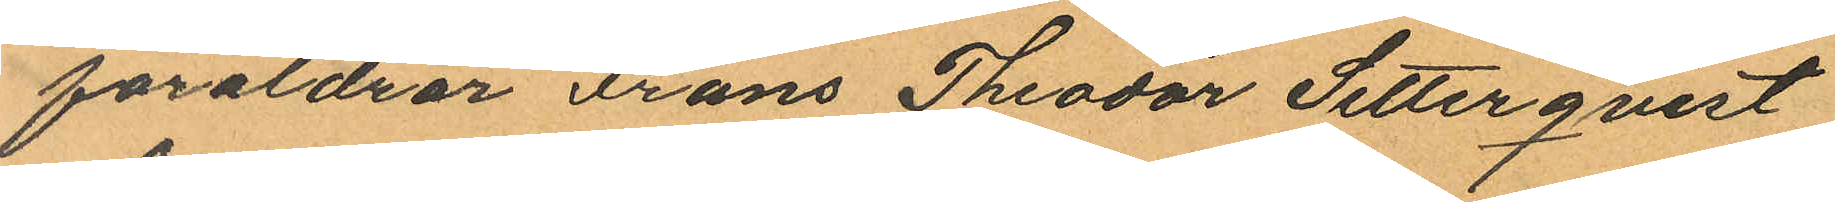föräldrar Frans Theodor Setterqvist
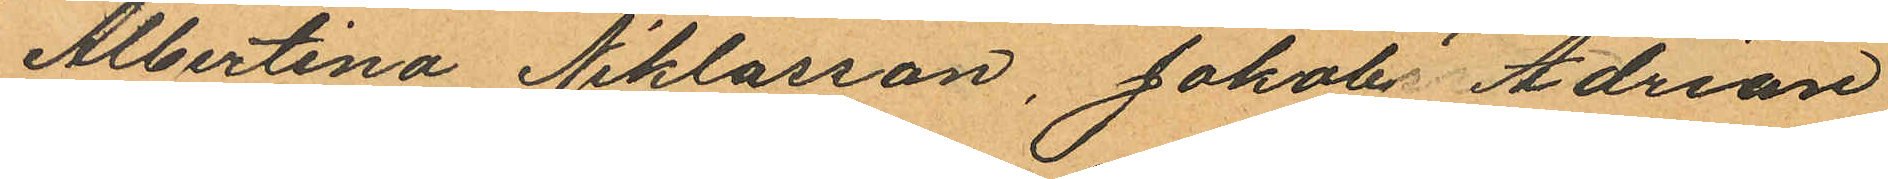Albertina Niklasson, Jakob Adrian
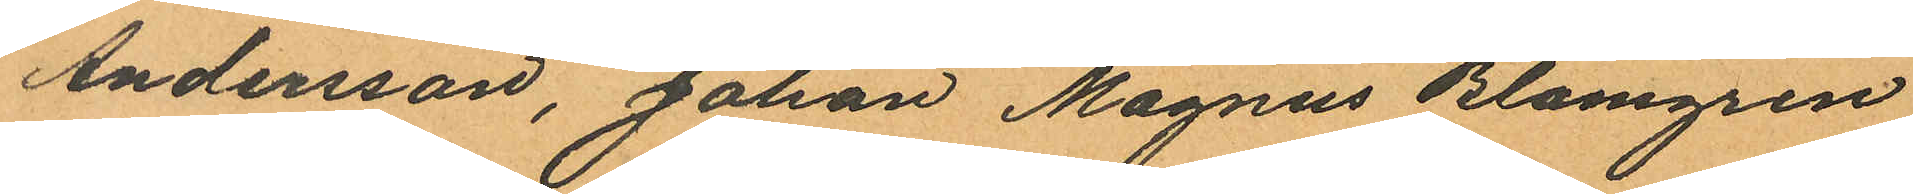Andersson, Johan Magnus Blomgren
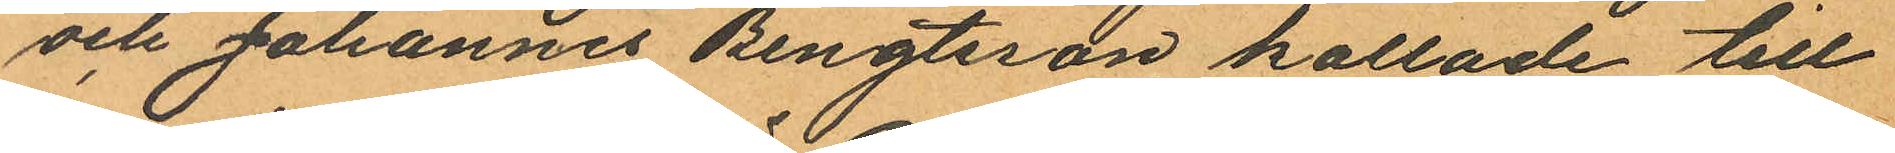och Johannes Bengtsson kallade till
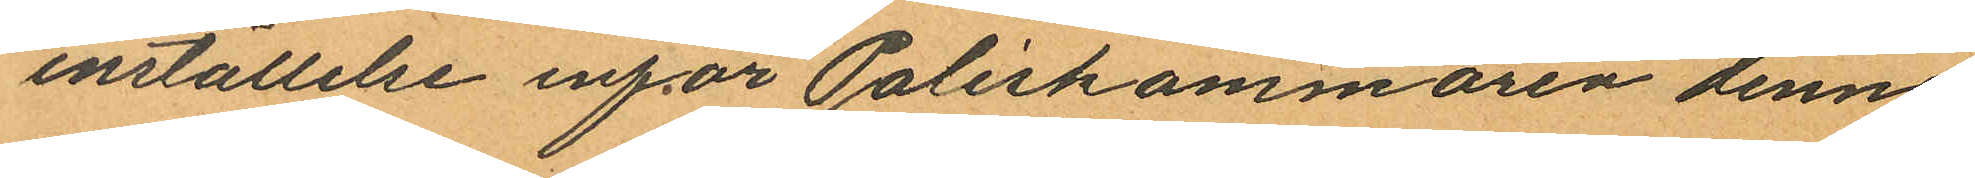inställelse inför Poliskammaren denna
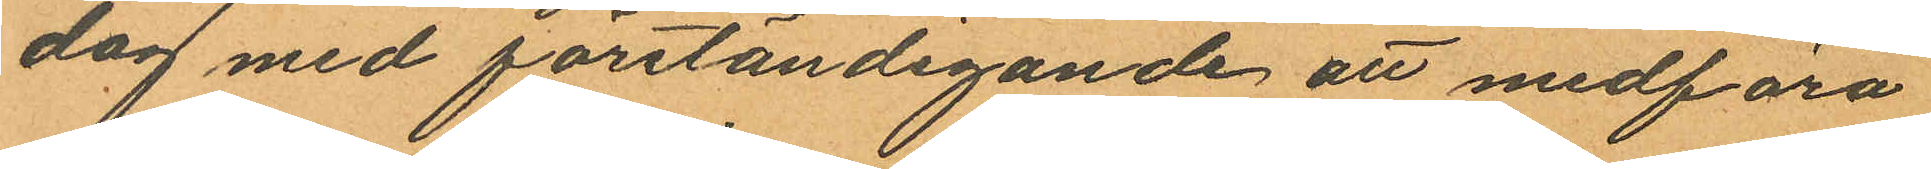dag med förständigande att medföra
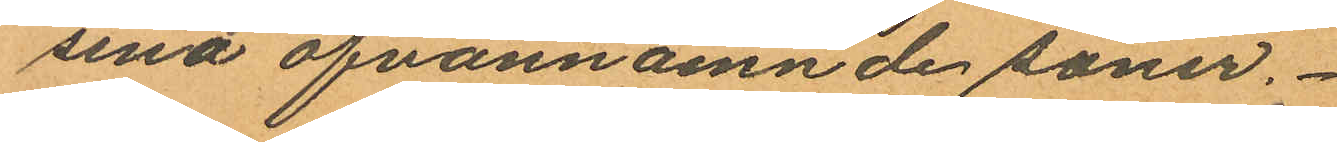sina ofvannämnde söner.
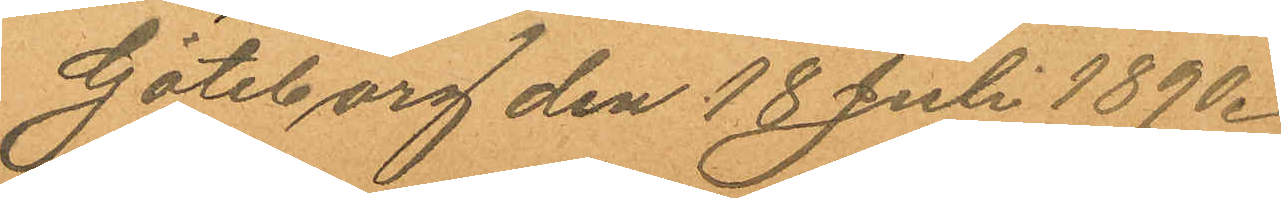Göteborg den 18 Juli 1890.
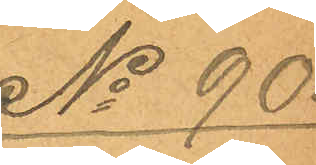No 90.
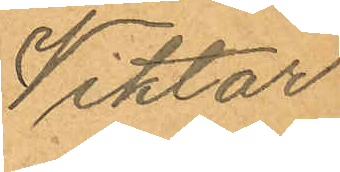Viktor
